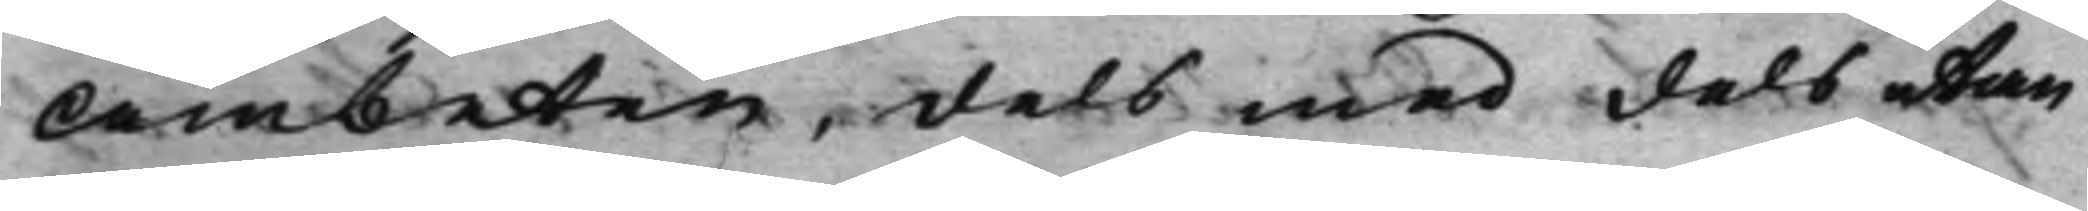Ämbeten, dels med dels utan
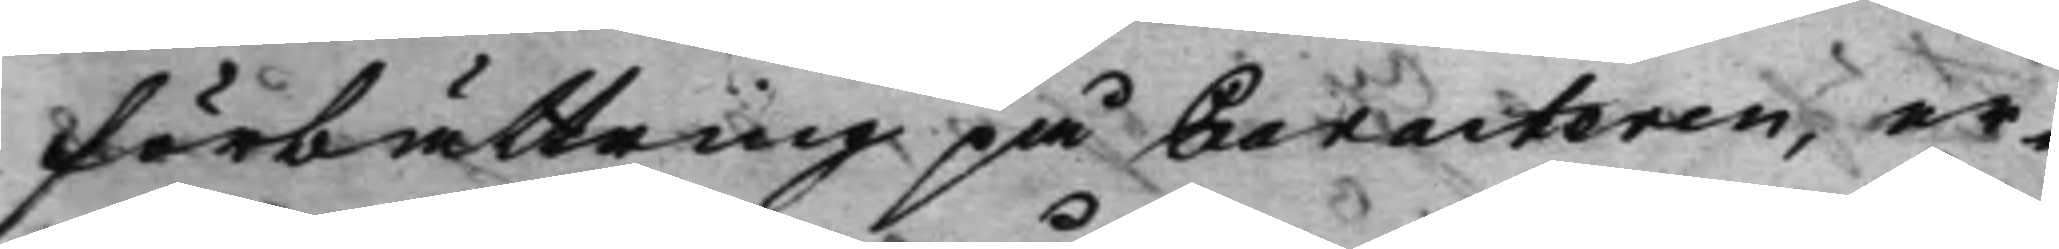förbättring på Caracteren, er¬
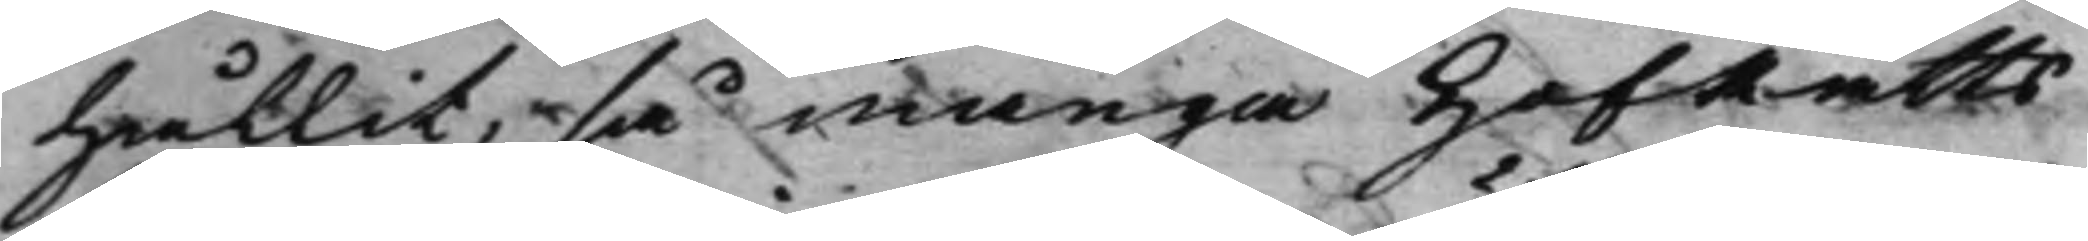hållit, så många HofRätts¬
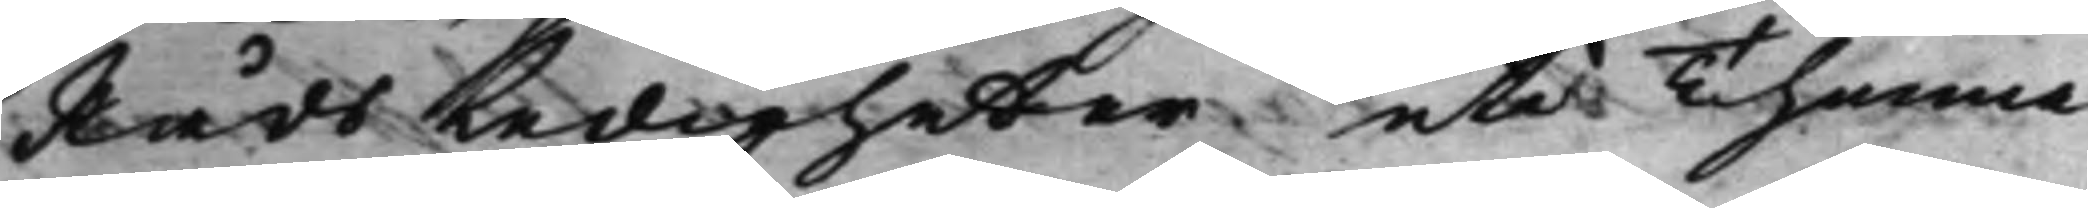Råds Ledigheter uti Thenna
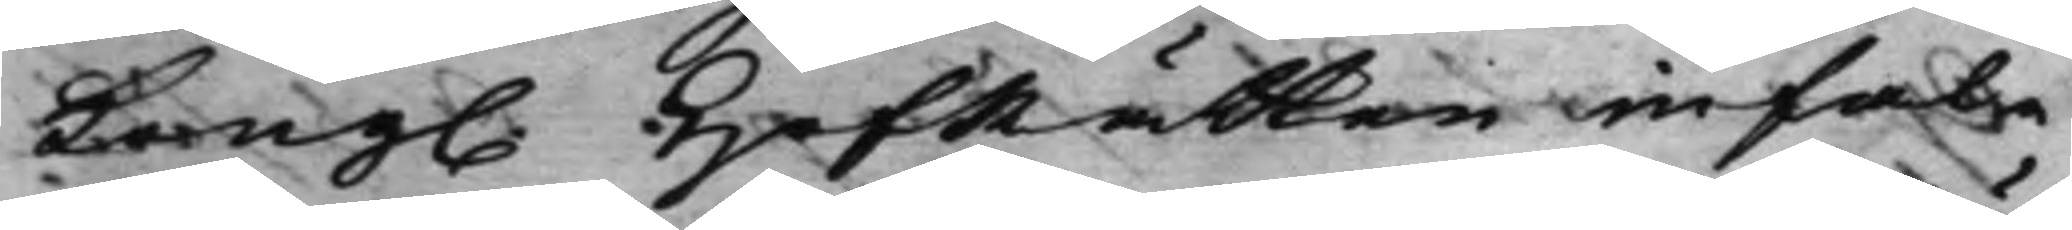Kong. HofRätten infal¬ 
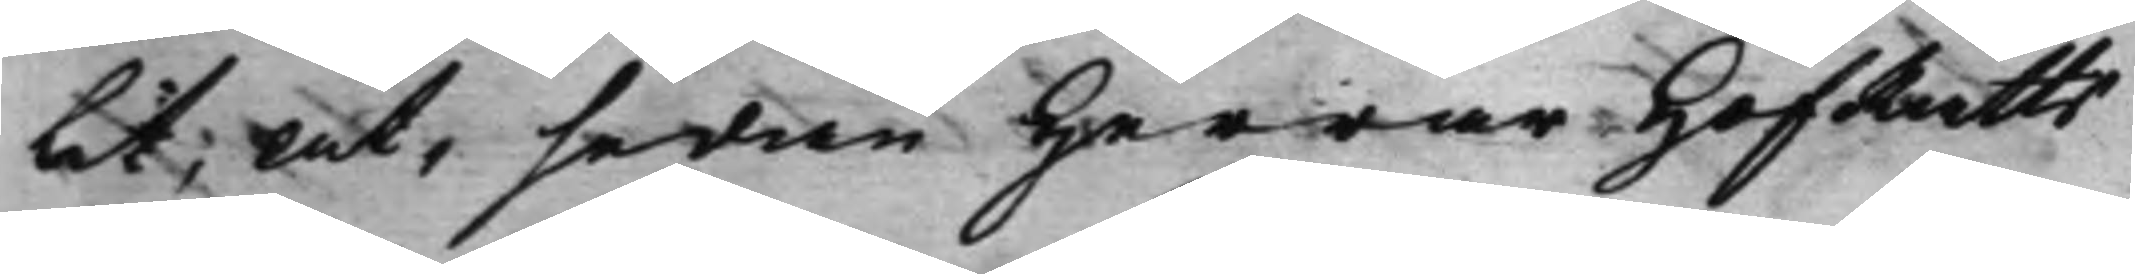lit, at, sedan Herrar HofRätts¬
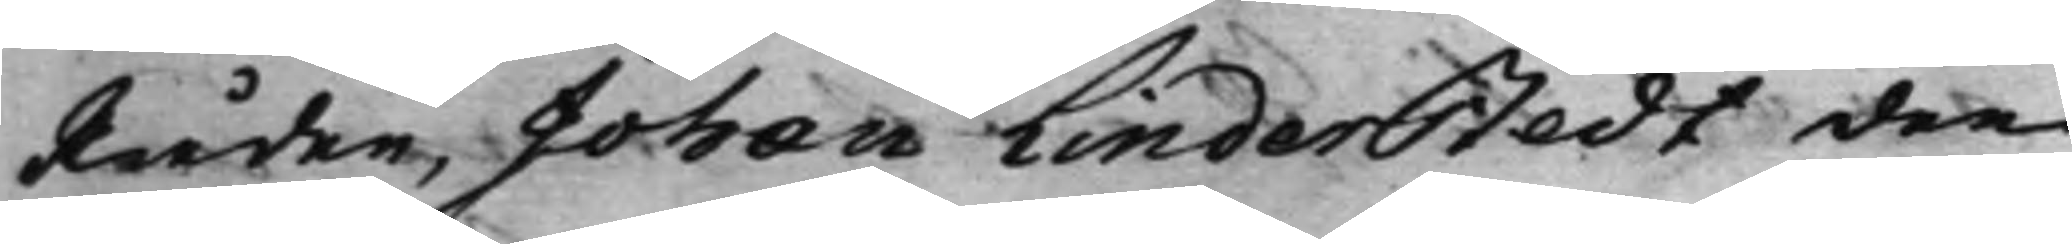Råden, Johan Linderstedt den
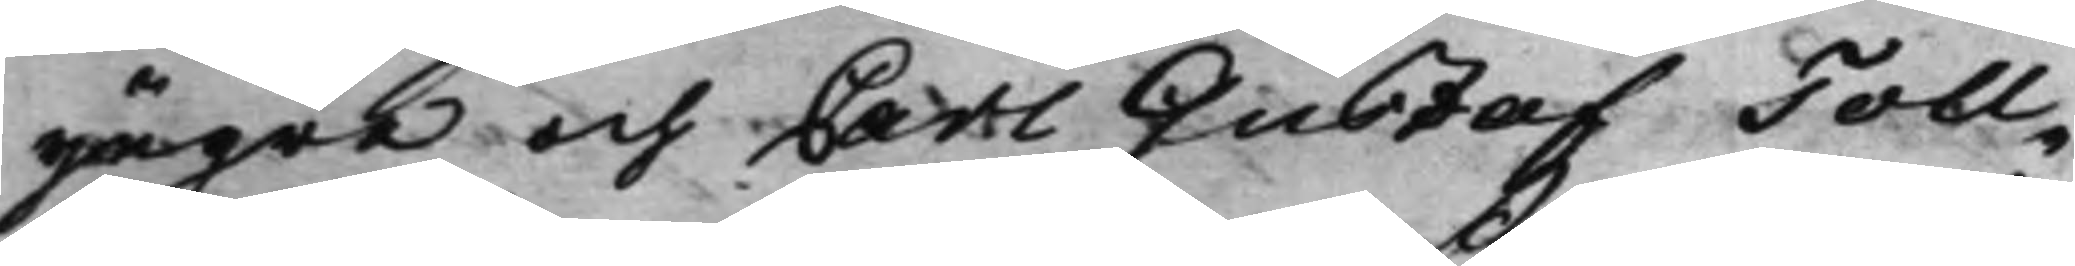yngre och Carl Gustaf Toll¬
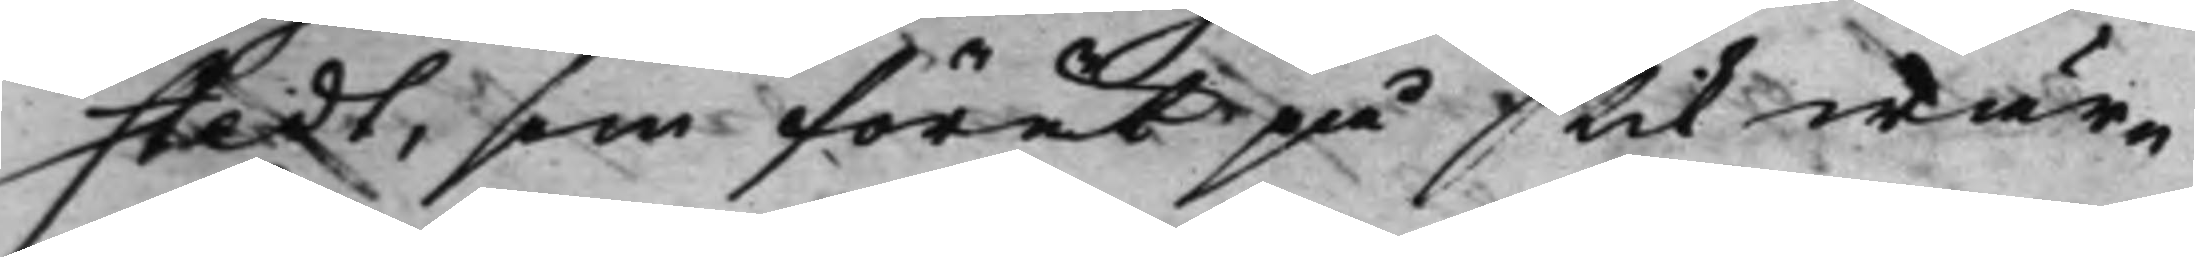stedt, som förut på s tilwär¬
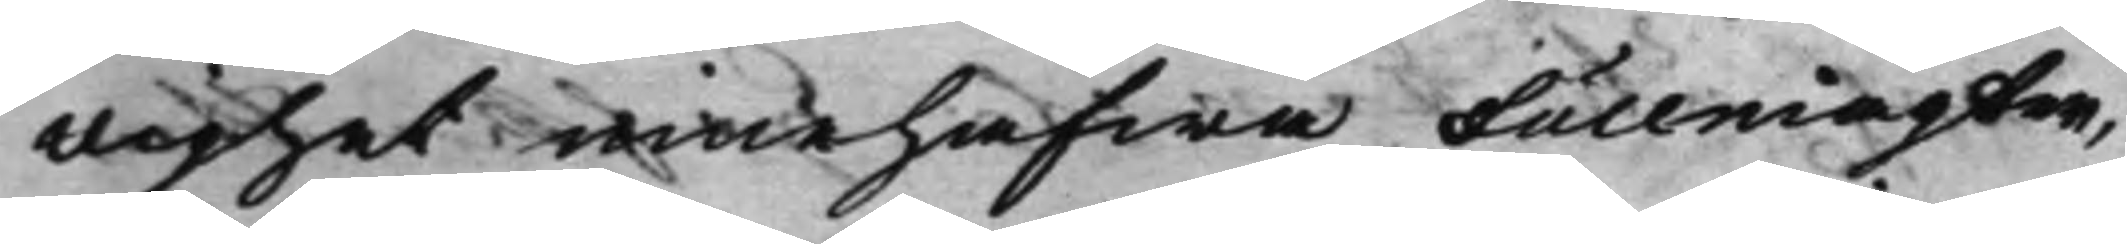dighet innehafwa Fullmagter,
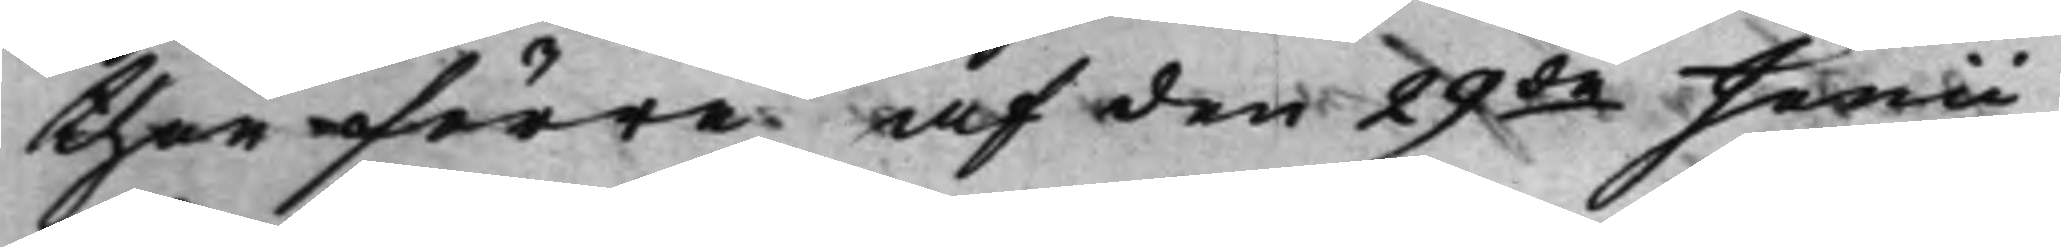then förre af den 29de Junii 
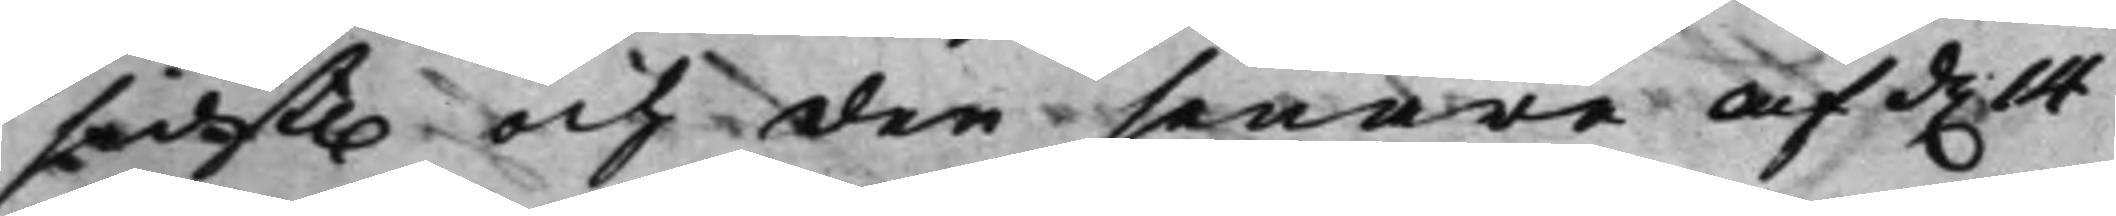sidst. och den senare af d. 14 
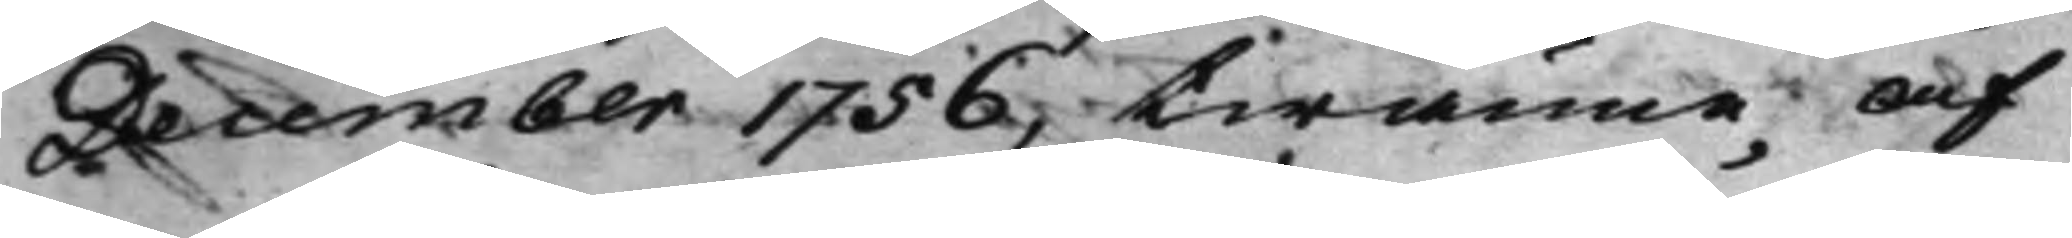December 1756, twänne af
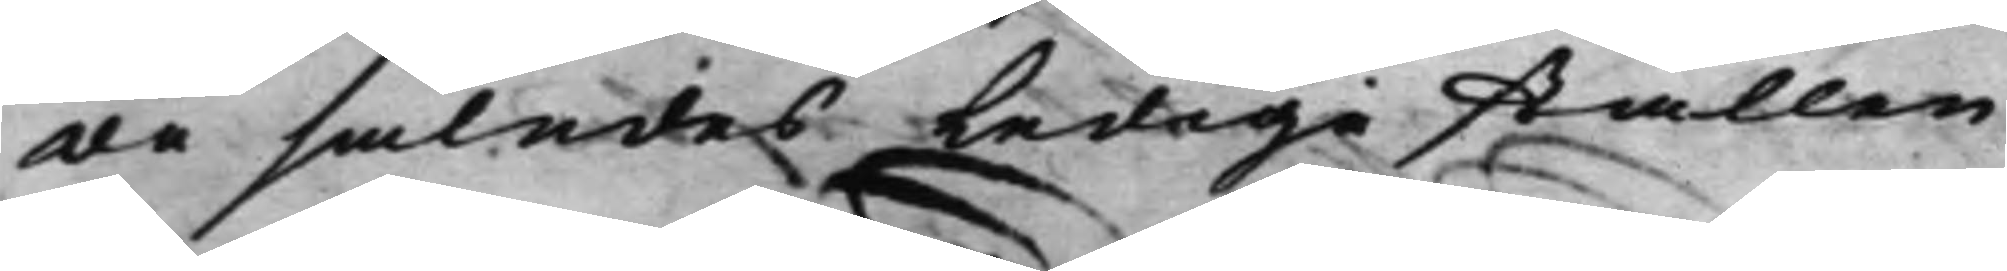de således Ledige ställen
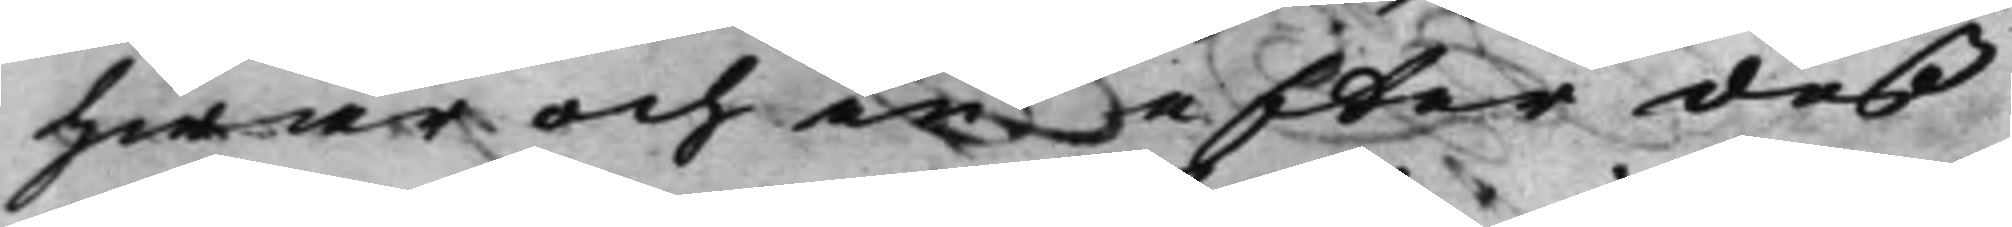hwar och en efter deß
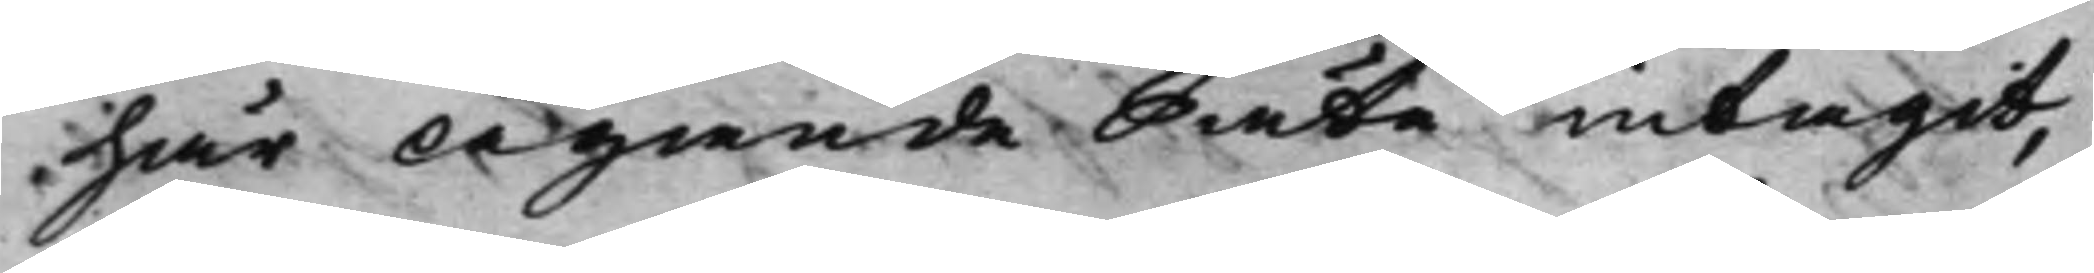här Ägande Säte intagit,
